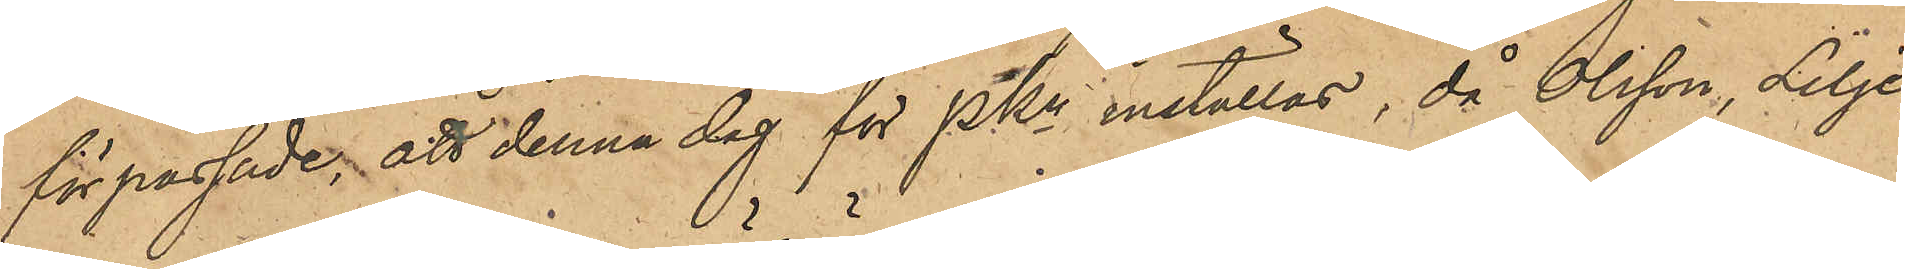förpassade, att denna dag för PKn inställas, då Olsson, Lilje¬
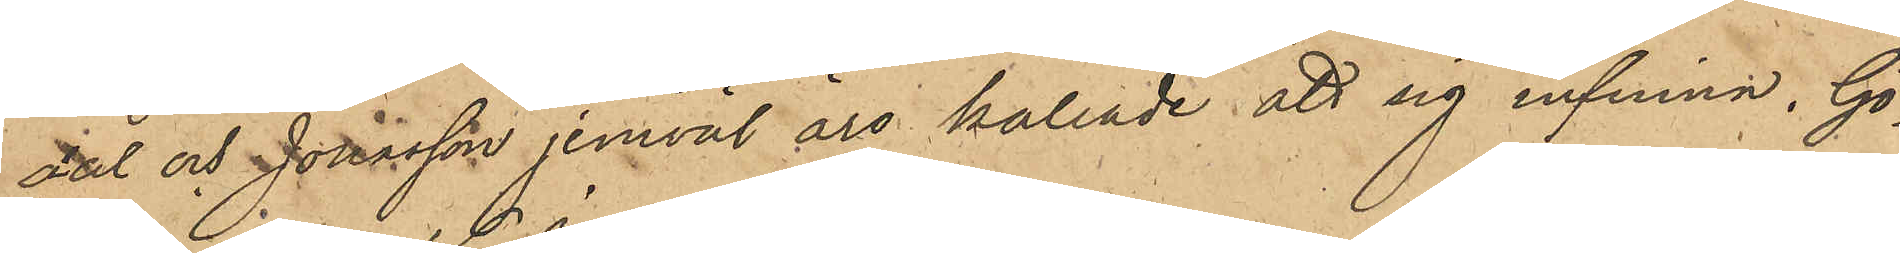dal och Jonasson jemväl äro kallade att sig infinna. Gö¬
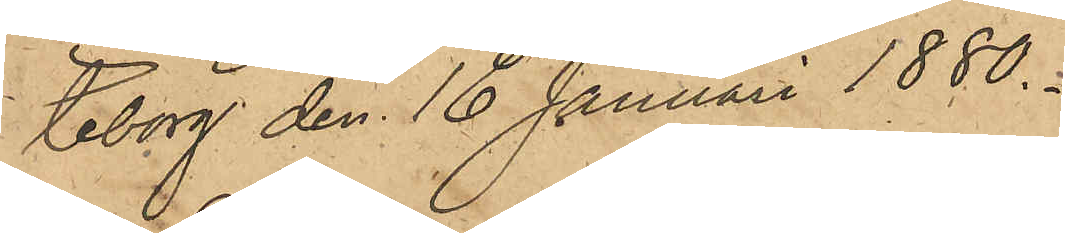teborg den 16 Januari 1880.
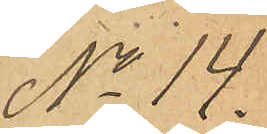No 14.
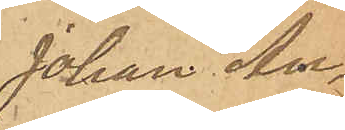Johan An¬
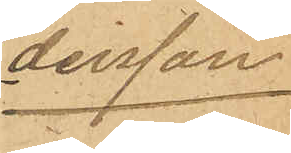dersson.
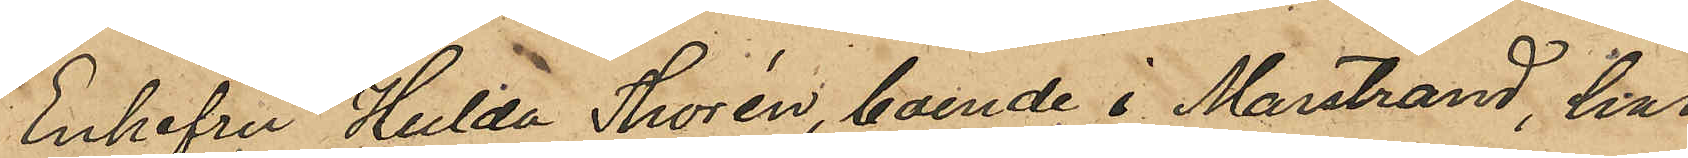Enkefru Hulda Thorén, boende i Marstrand, har
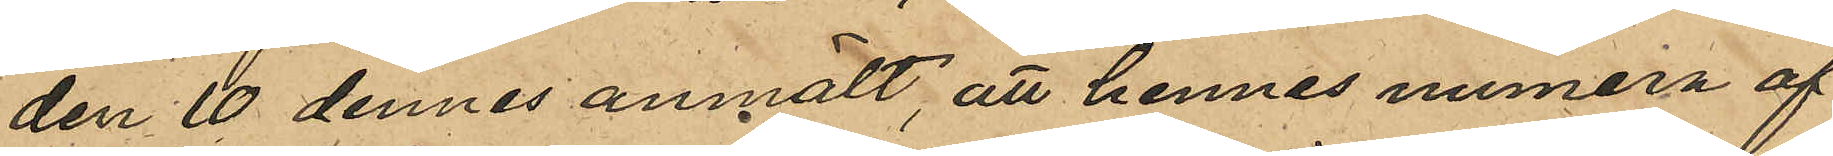den 10 dennes anmält, att hennes numera af¬
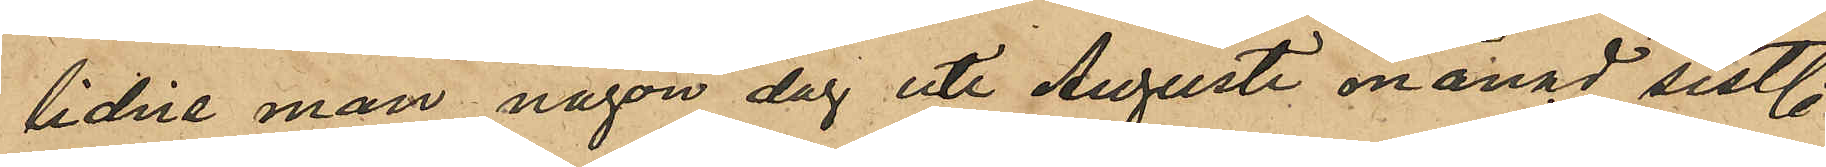lidne man någon dag uti Augusti månad sistl.
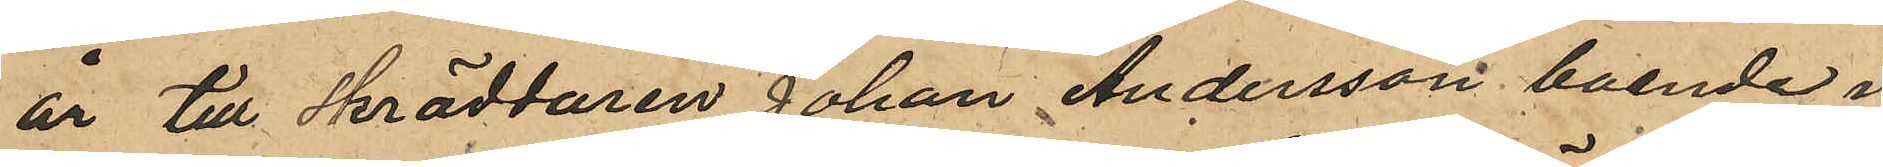år till Skräddaren Johan Andersson boende i
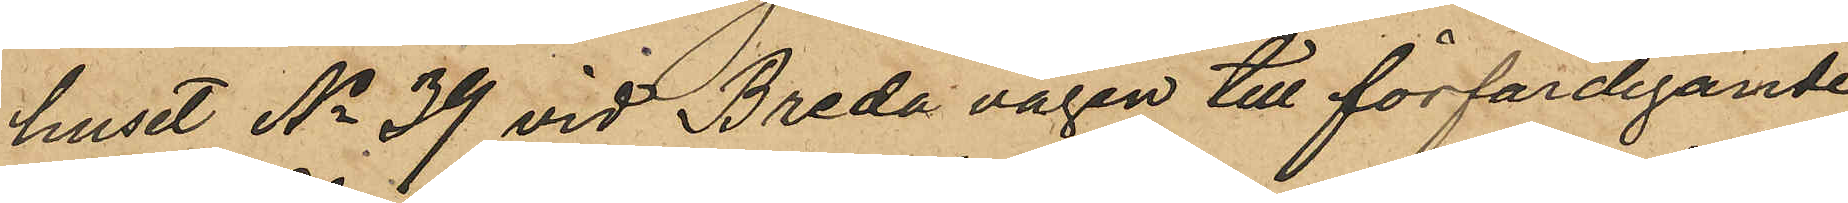huset No 39 vid Breda vägen till förfärdigande
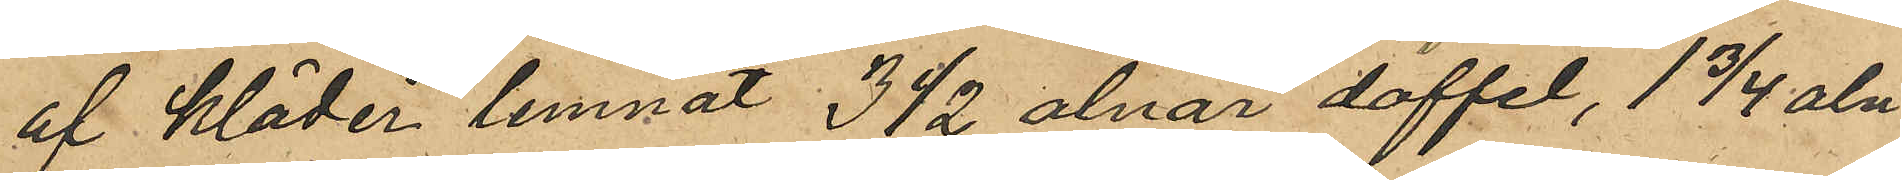af kläder lemnat 3 1/2 alnar doffel, 1 3/4 aln
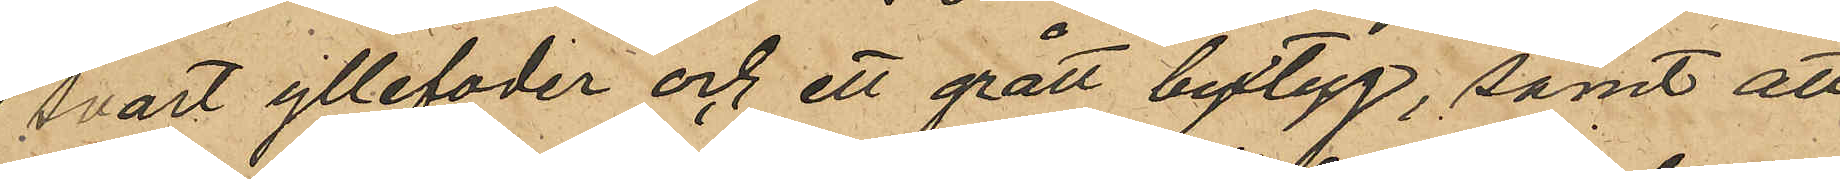svart yllefoder och ett grått byxtyg, samt att
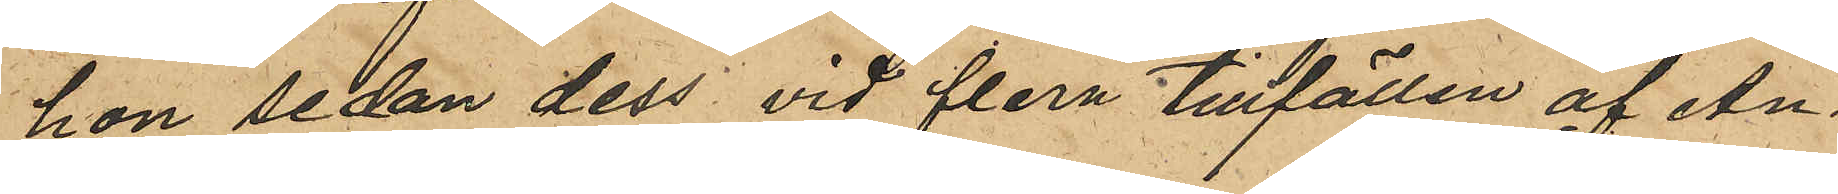hon sedan dess vid flera tillfällen af An¬
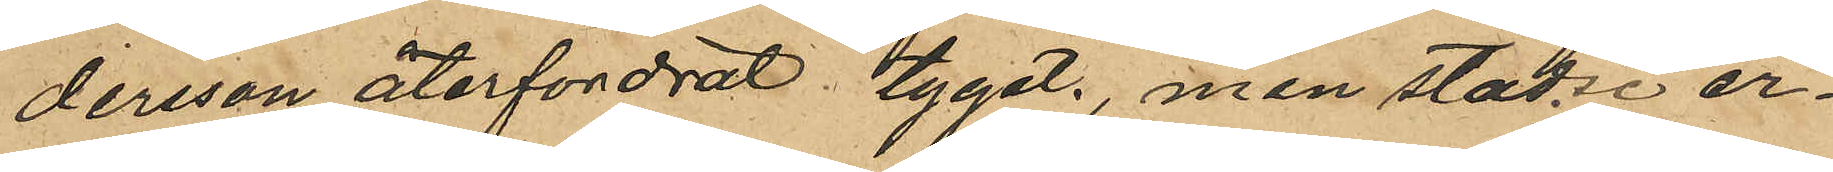dersson återfordrat tyget, men städse er¬
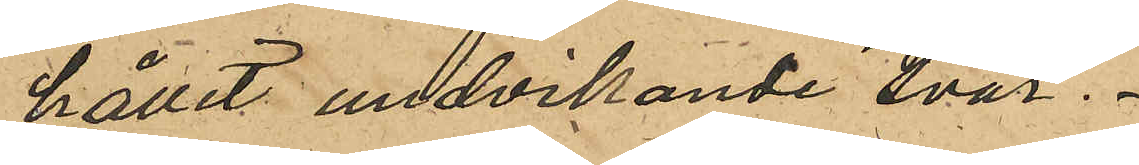hållit undvikande svar.
